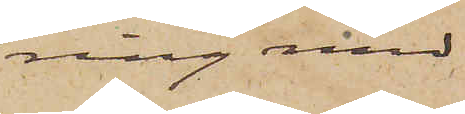ring med
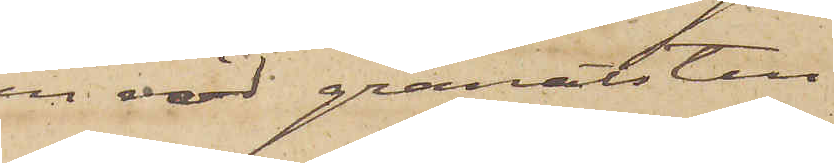en röd granatsten
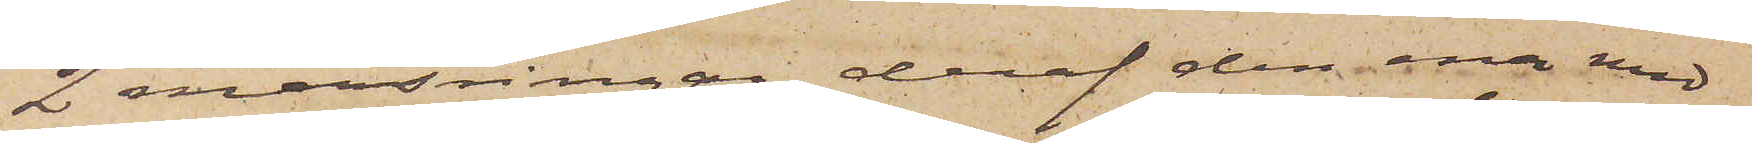2 mansringar, deraf den ena med
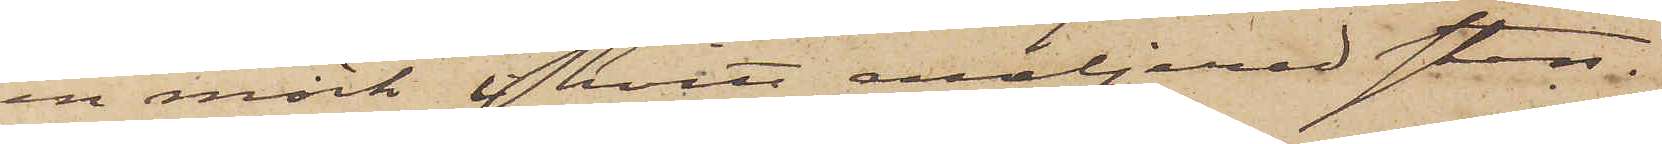en mörk i hvitt emaljerad sten.
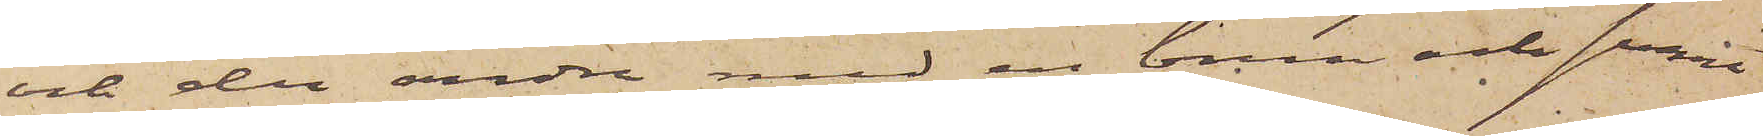och den andra med en brun och svart
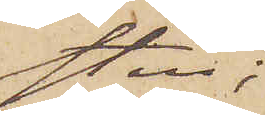sten;
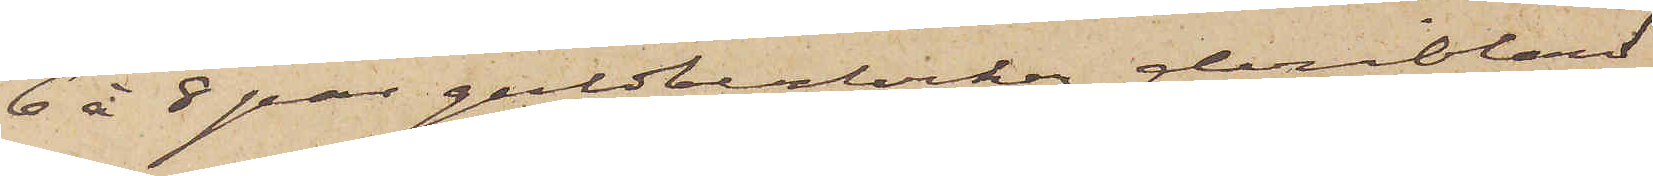6 à 8 par guldberlocker deribland
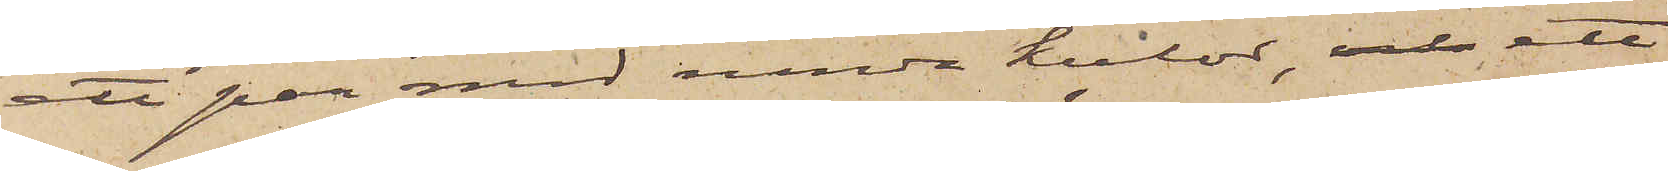ett par med runda kulor, och ett
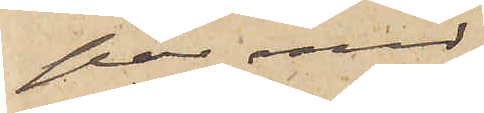par med
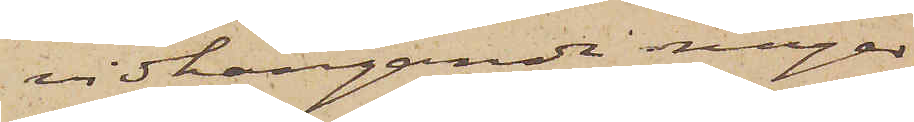vidhängande ringar
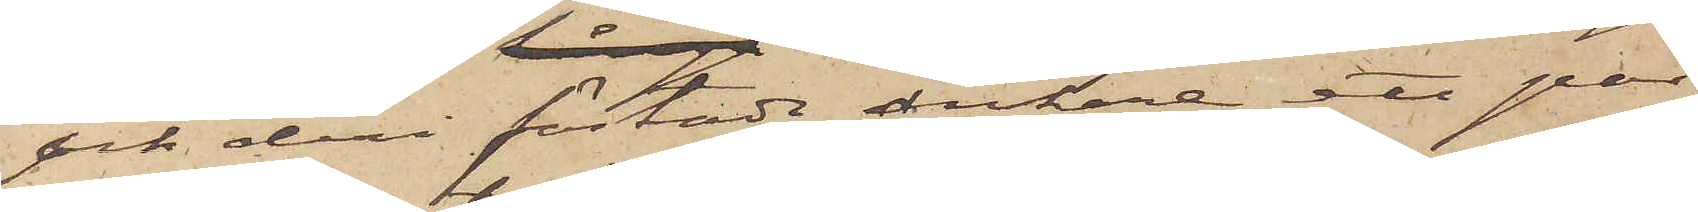och deri fästade ankare, ett par
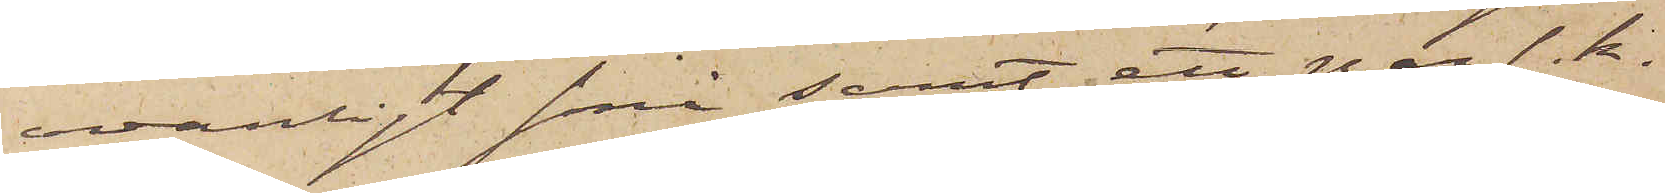ovanligt små samt ett par s. k.
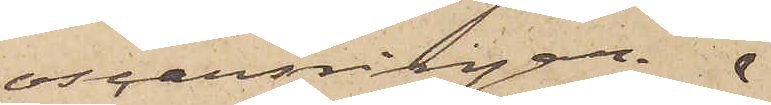oscarsringar.
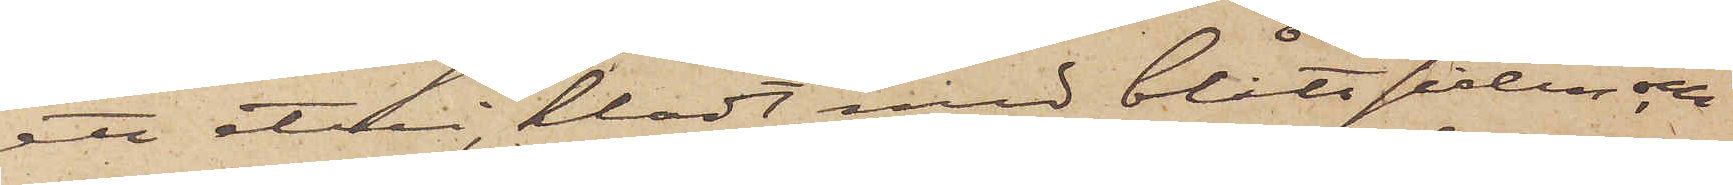ett etui, klädt med blått siden, och
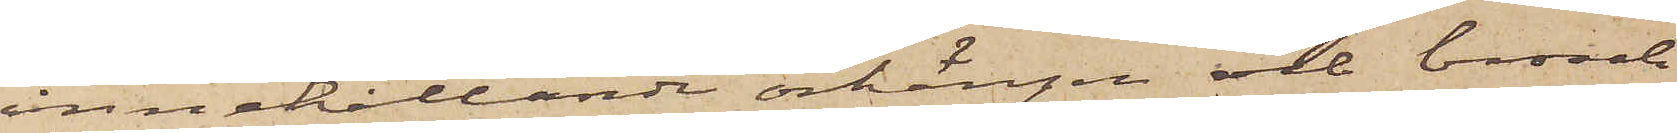innehållande örhängen och brosch
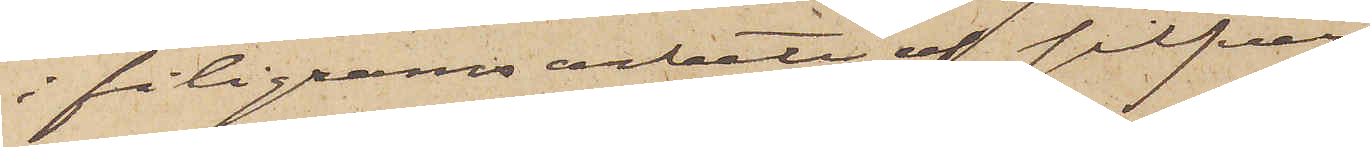i filigramsarbete af silfver.
